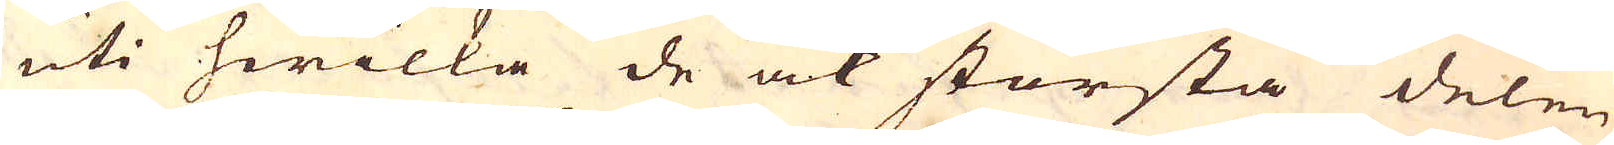uti hwilka de ock största delen
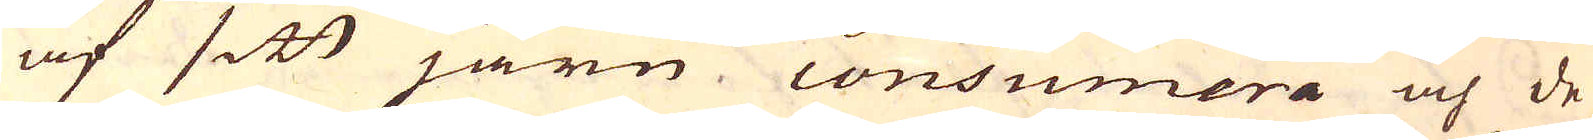af sitt järn consumera och de
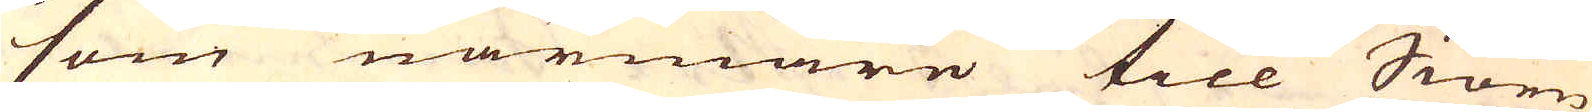som närmare till Siöen
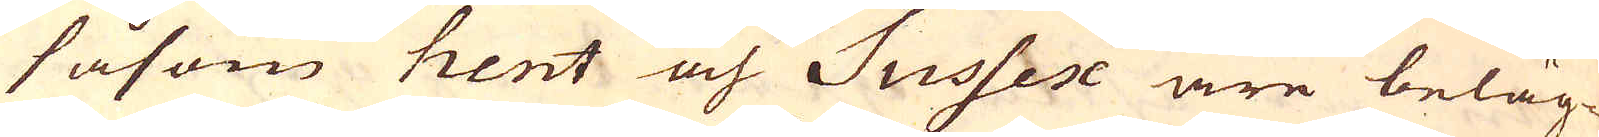såsom Kent och Sussex äre beläg-
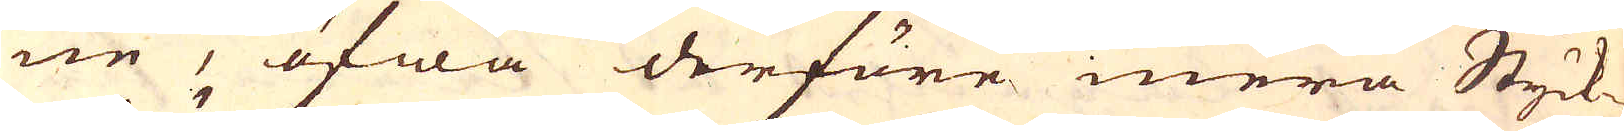ne, öfwa derföre mera Styck-
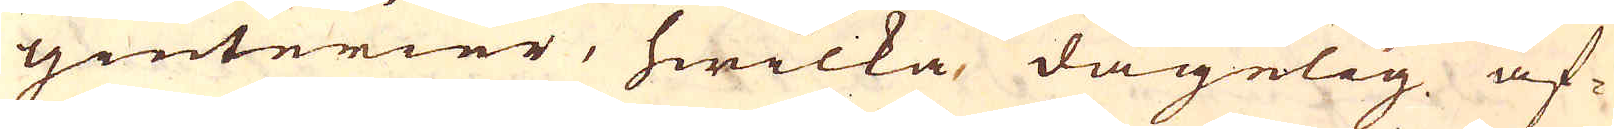giuterier, hwilka dagelig af-
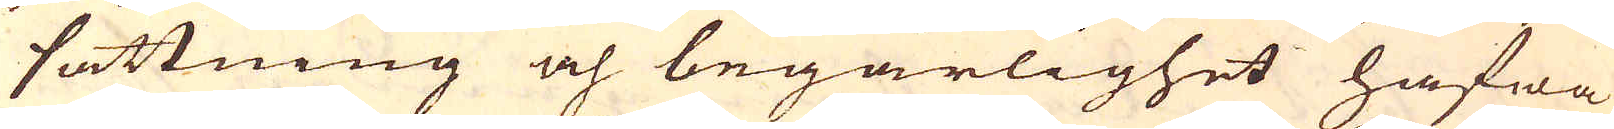sättning och begärlighet hafwa
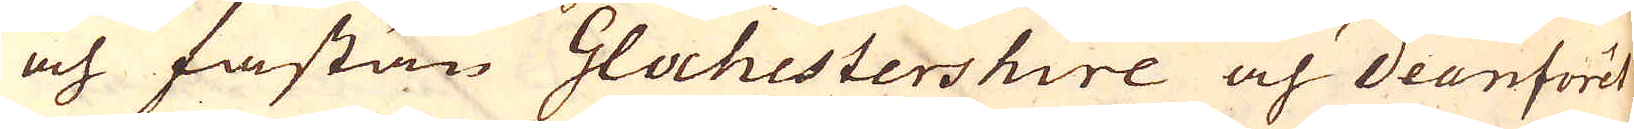och fastän Glochestershire och Deanford
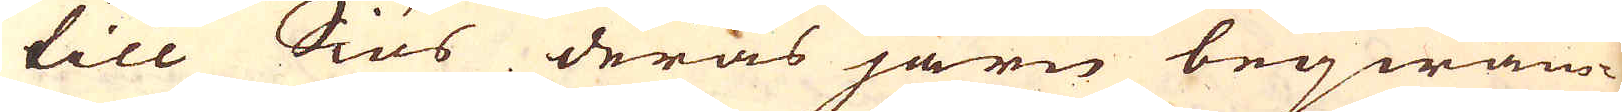till Siös deras järn beqwäm-
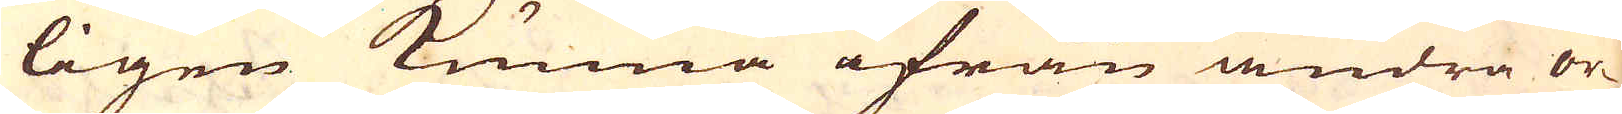ligen kunna ifrån andra or-
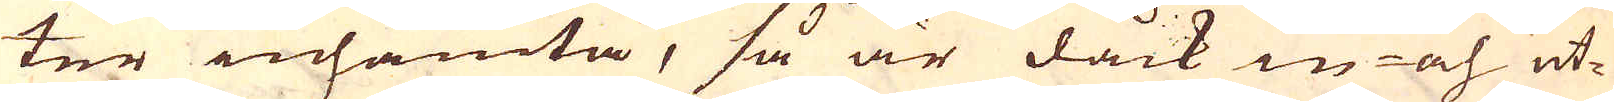ter inhämta, så är dåck in och ut-
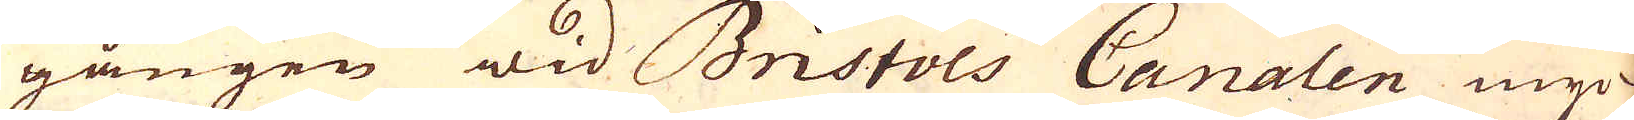gången wid Bristols Canalen myc-
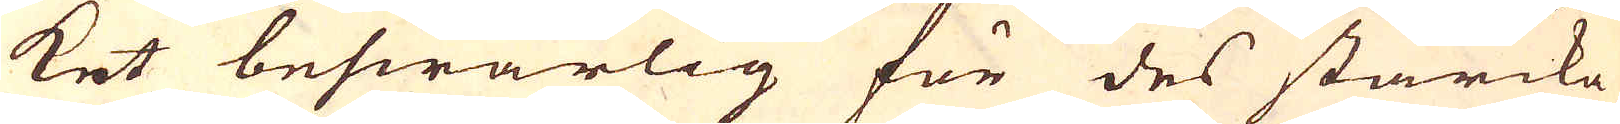ket beswärlig för des starcka
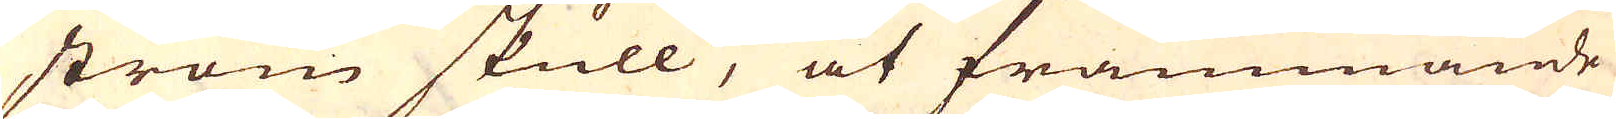ström skull, at främmande
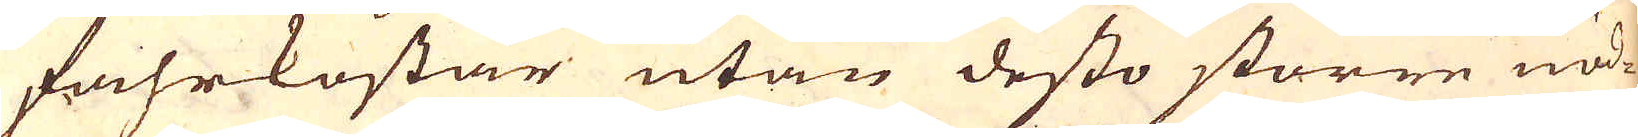fahrkostar utan desto större nöd-
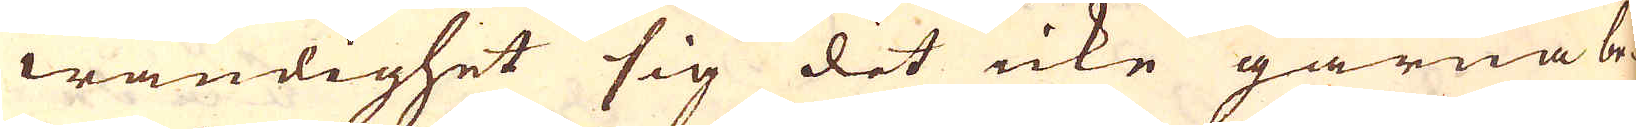wändighet sig dit icke gärna be-
